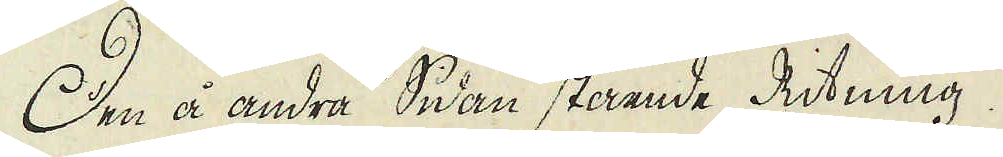Den å andra Sidan stående Ritning.
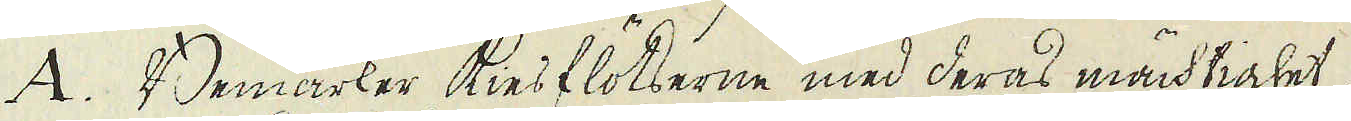A. Bemärker kiesflötserne med deras mächtighet.
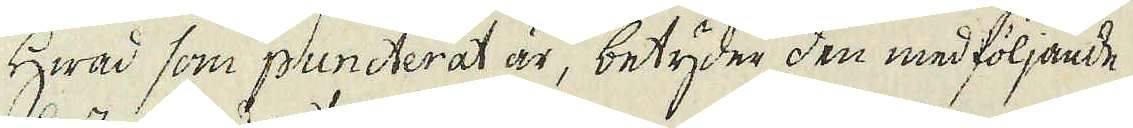Hwad som puncterat är, betyder den medföljande
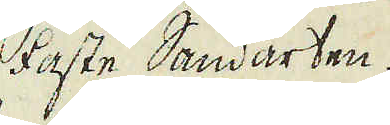faste Sandarten.
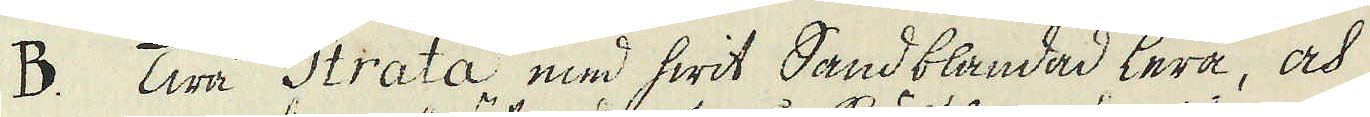B. Twå Strata med hwit Sandblandad lera, och
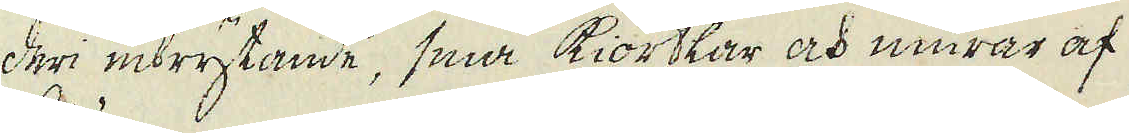deri inbrytande, små Kiörtlar och murar af
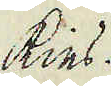kies.
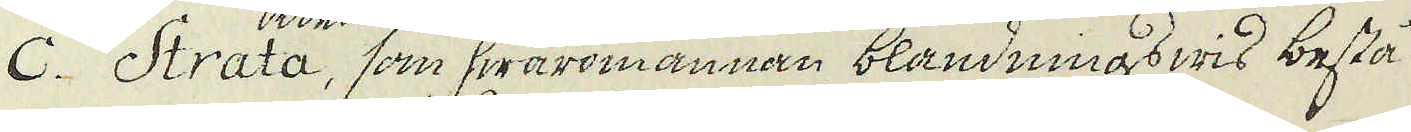C. Strata, som hwaromannan blandningswis bestå
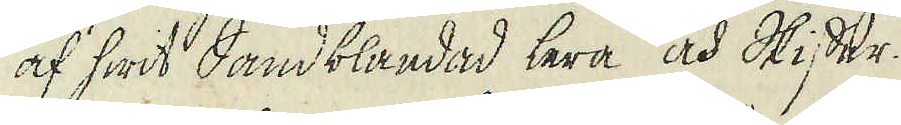af hwit Sandblandad lera och Skiffer.
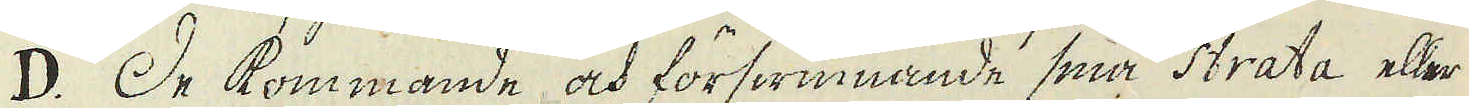D. De kommande och förswinnande små Strata eller
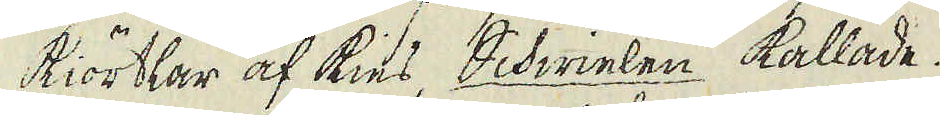kiörtlar af kies, Schwielen kallade.
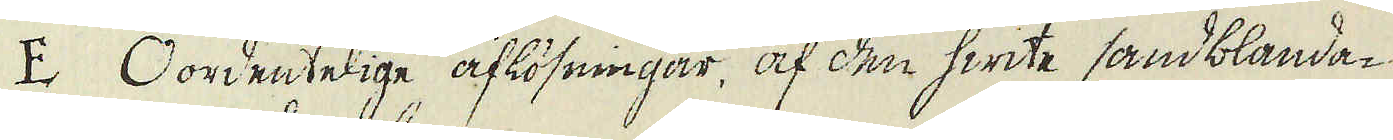E Oordentelige aflösningar, af den hwite sandblanda-
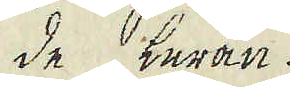de leran.
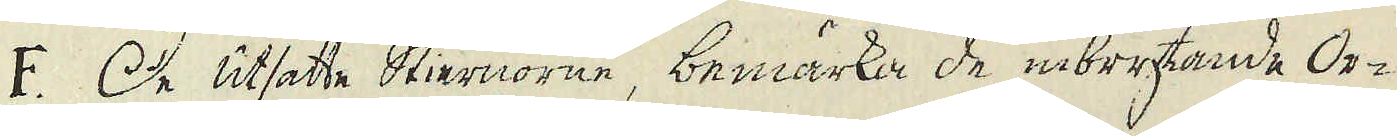F. De utsatte stiernorne, bemärka de inbrytande Or-
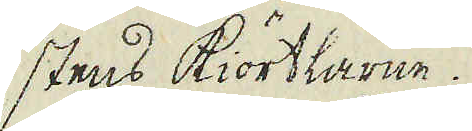stens Kiörtlarne.
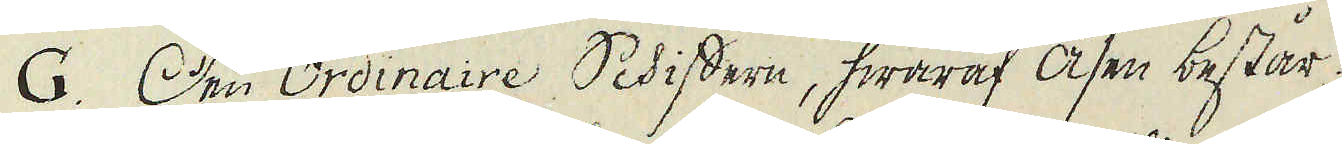G. Den Ordinaire Schiffern, hwaraf åsen består.
